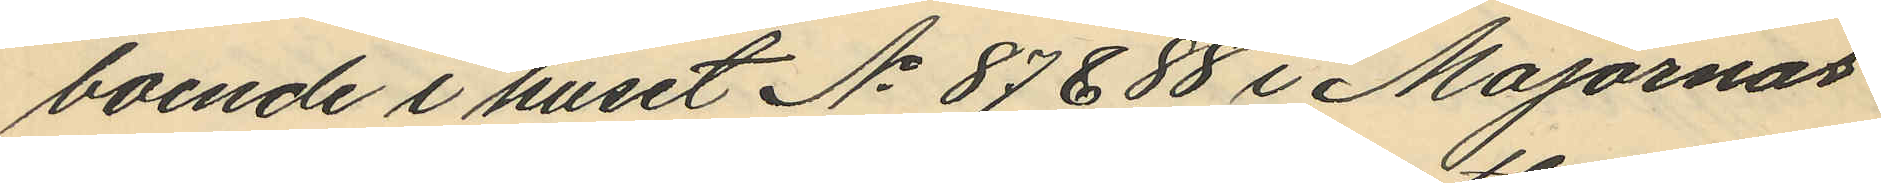boende i huset No 87 & 88 i Majornas
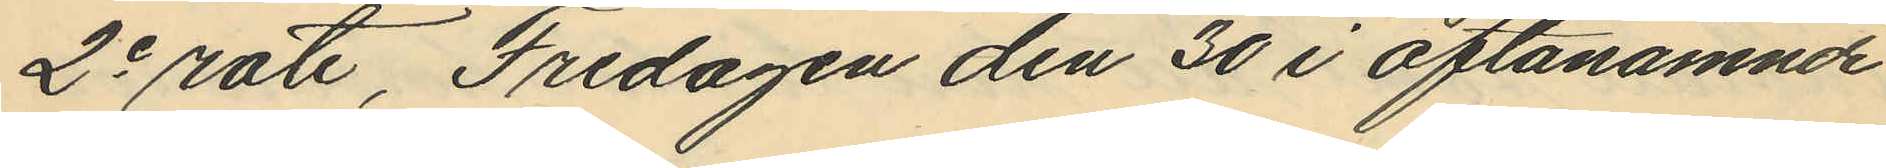2e rote, Fredagen den 30 i oftanämnde
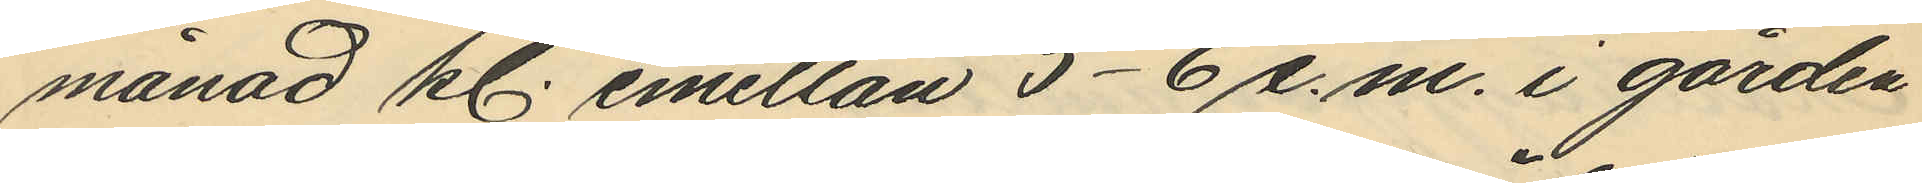månad kl. emellan 5-6 e.m. i gården
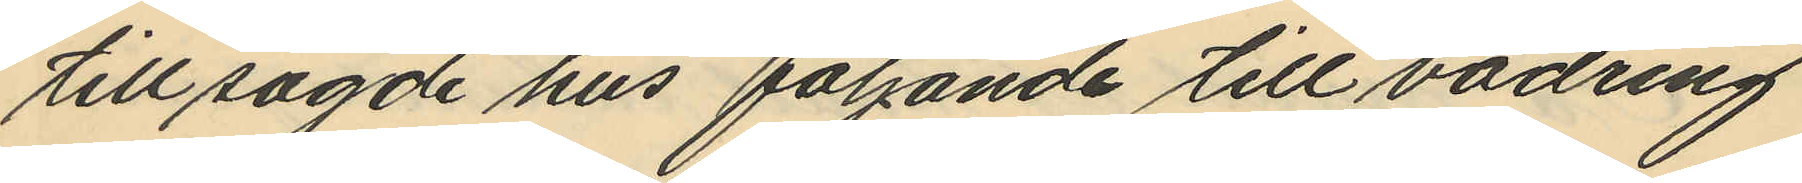till sagde hus följande till vädring
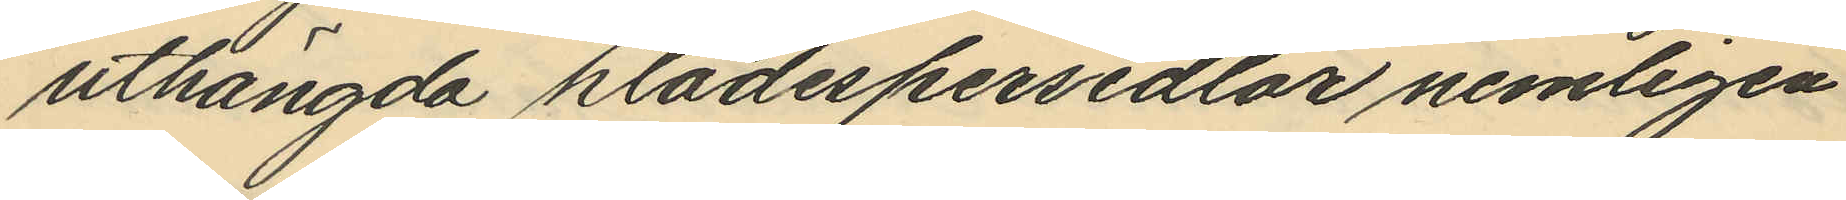uthängda klädespersedlar nemligen
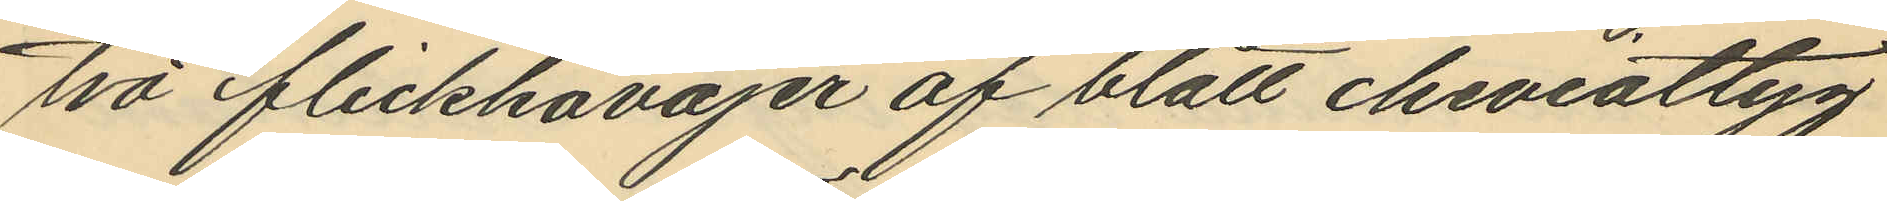två flickkavajer af blått cheviottyg
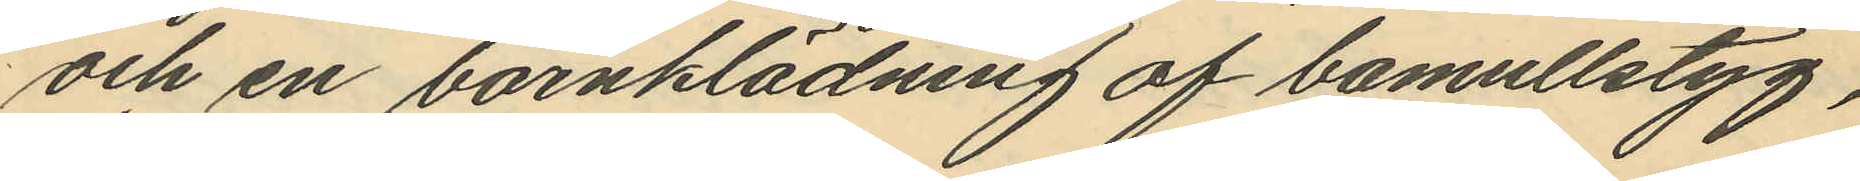och en barnklädning af bomullstyg,
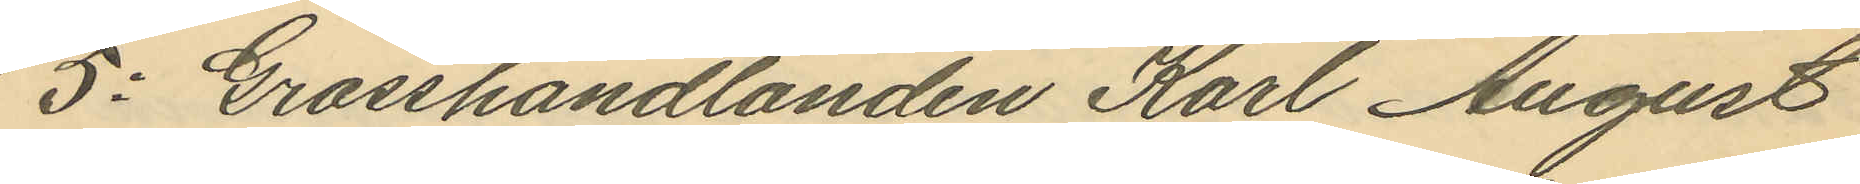5o Grosshandlanden Karl August
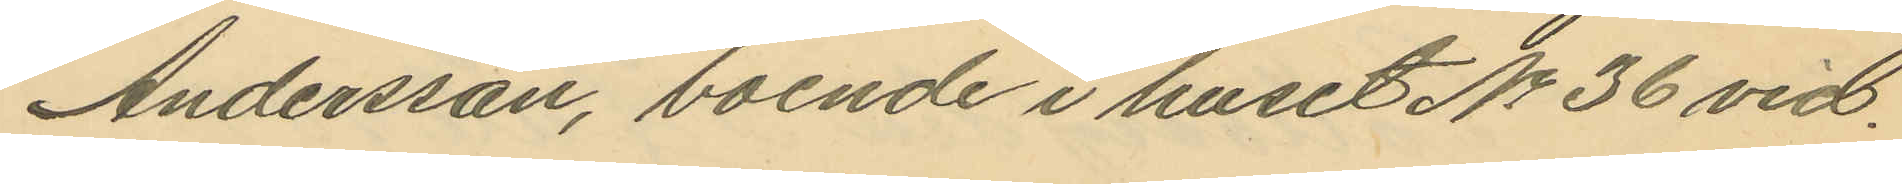Andersson, boende i huset No 36 vid
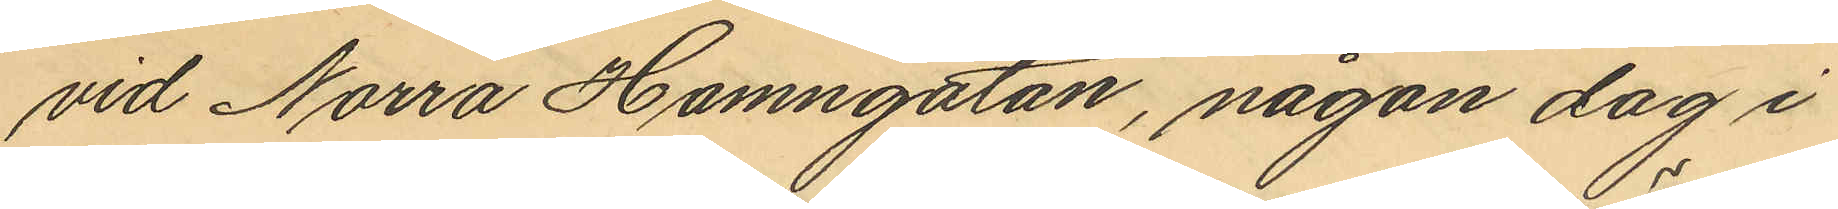vid Norra Hamngatan, någon dag i
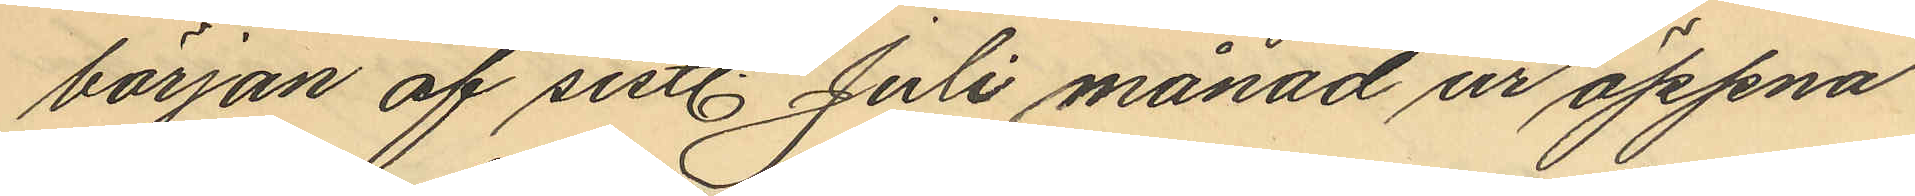början af sistl. Juli månad ur öppna
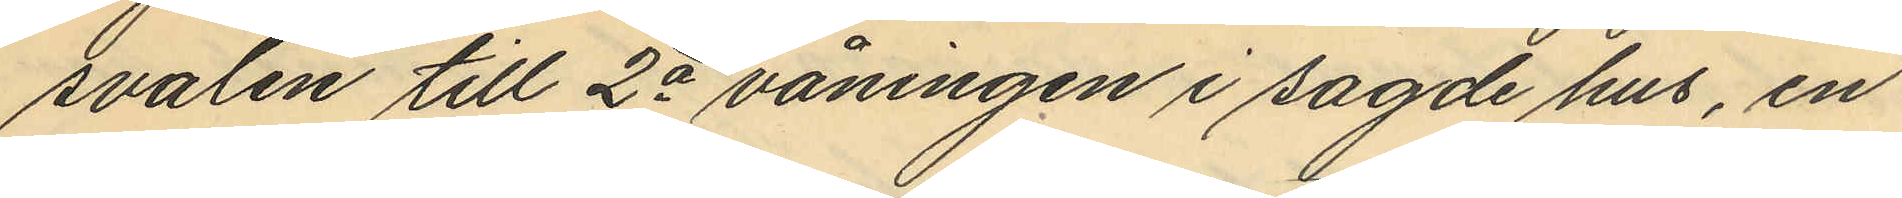svalen till 2a våningen i sagde hus, en
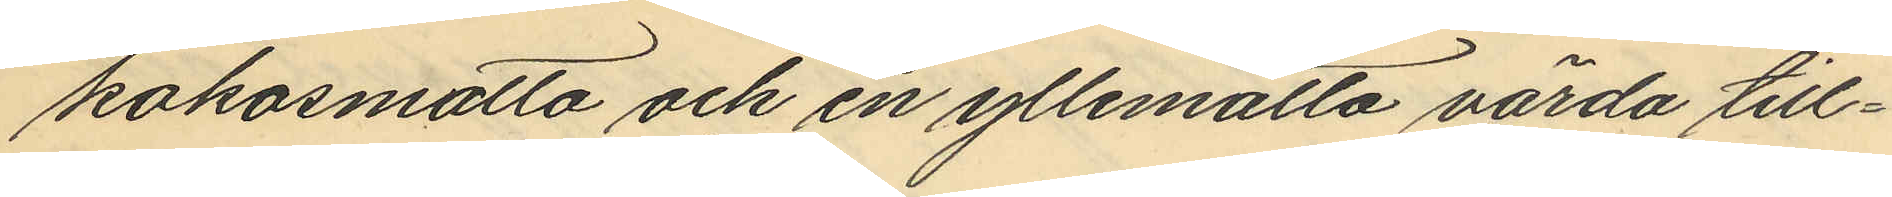kokosmatta och en yllematta värda till¬
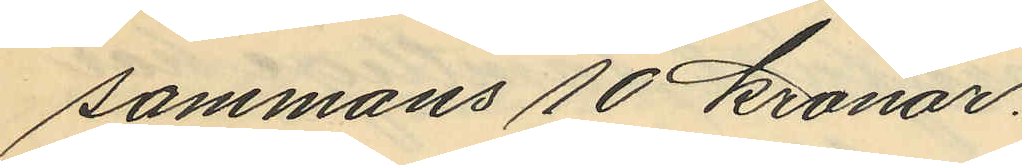sammans 10 kronor.
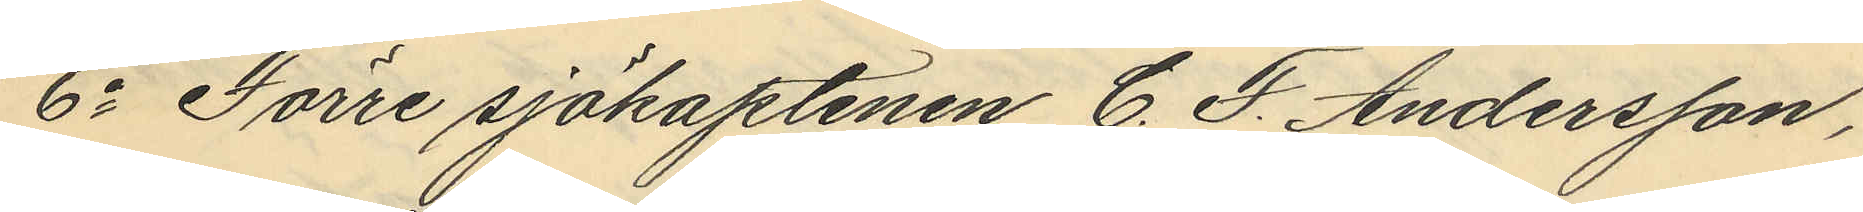6o Förre sjökaptenen C. F. Andersson,
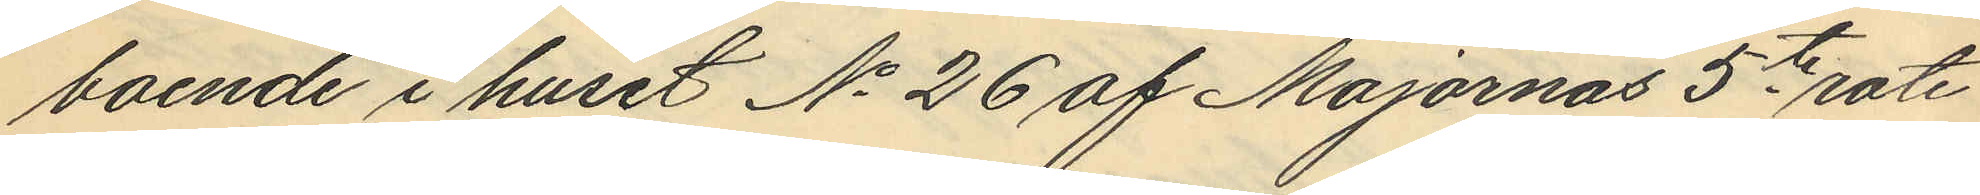boende i huset No 26 af Majornas 5te rote
